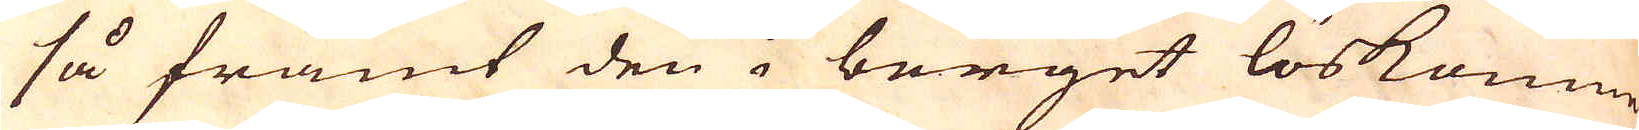så framt den i berget löskomne
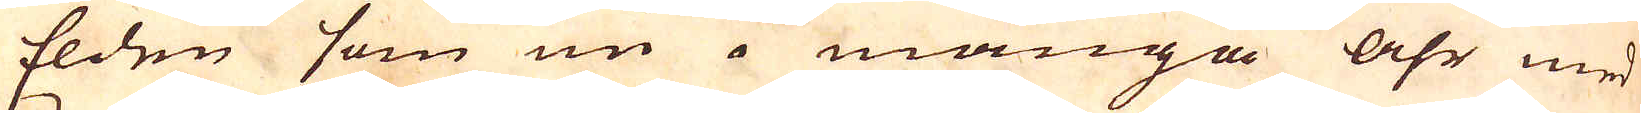Elden som nu i många åhr med
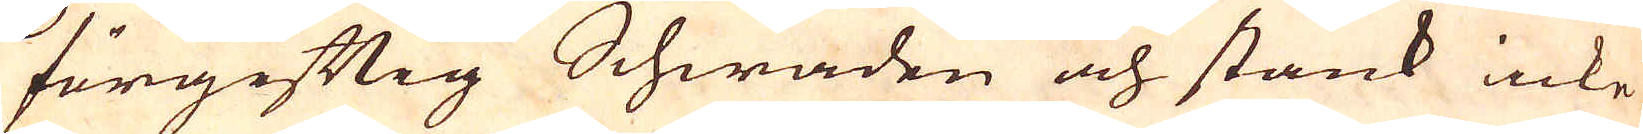förgiftig Schwaden och stank icke
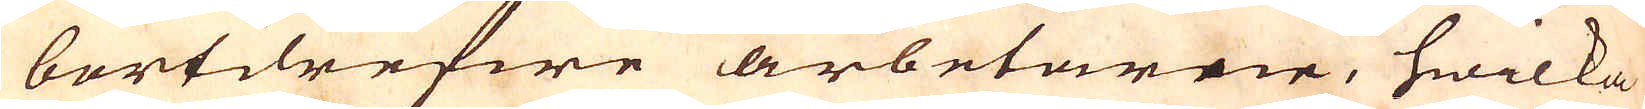bortdrefwe arbetarne, hwilka
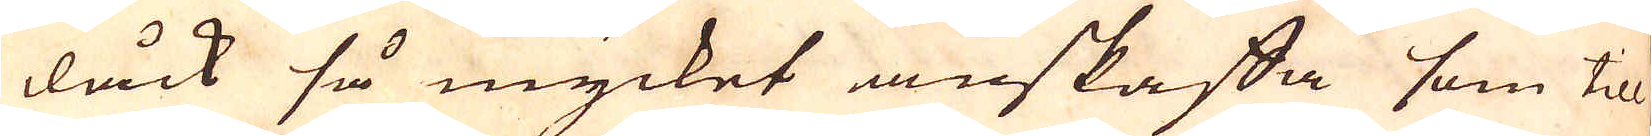dåck så mycket anskaffa som till
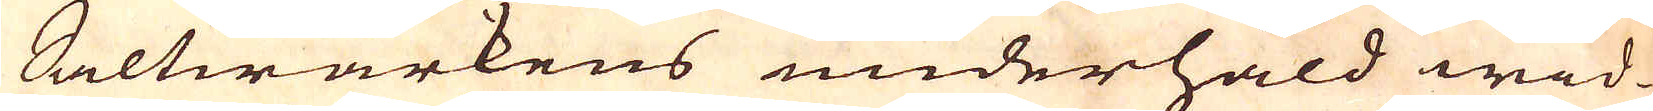Saltwärkens underhåld wid
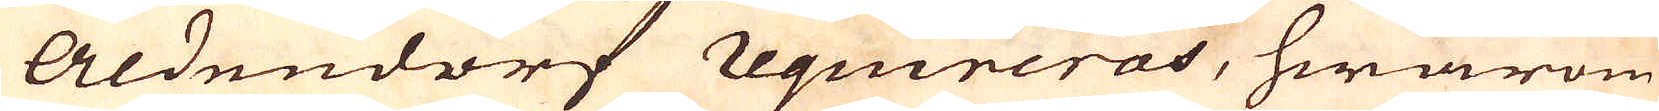Aldendorf requireras, hwarom
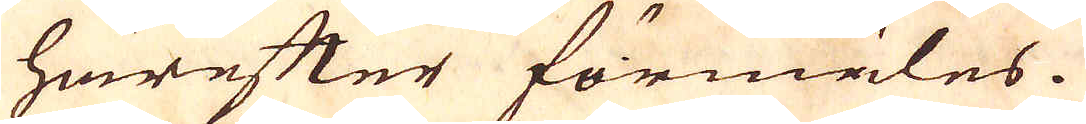härefter förmäles.
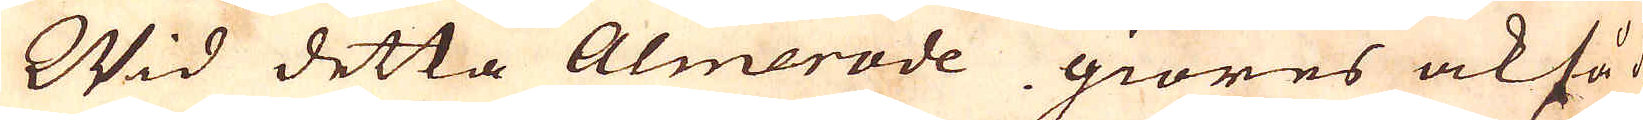Wid detta Almerode giöres också de
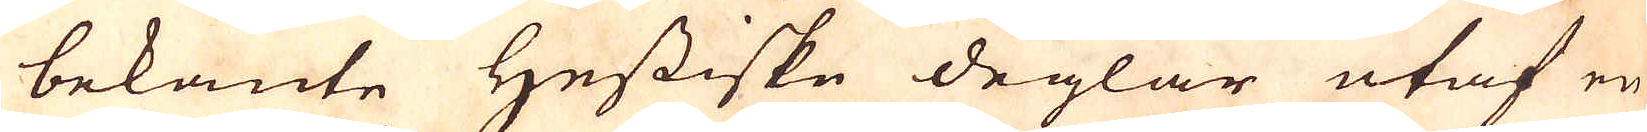bekante Hessiske deglar utaf en
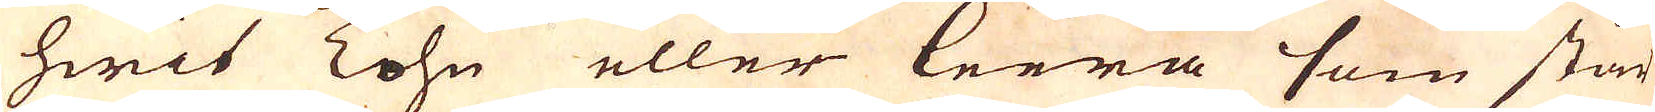hwit Tohn eller leera som står
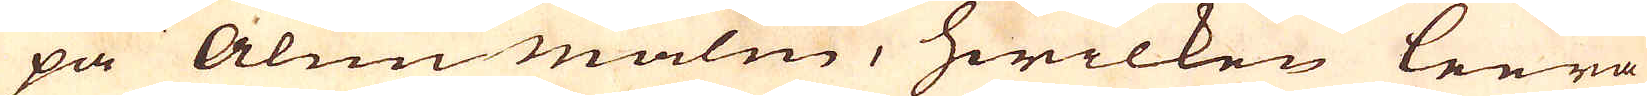på Alunmalm, hwilken leera
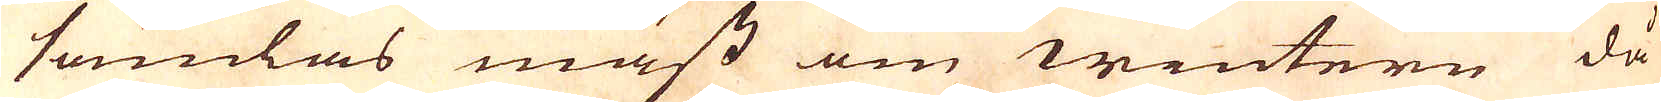samlas mäst om wintern då
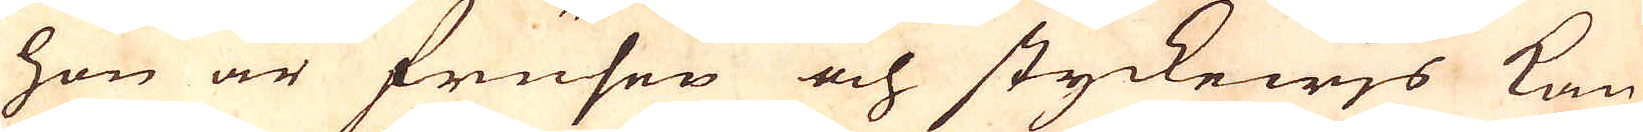hon är frusen och styckewjs kan
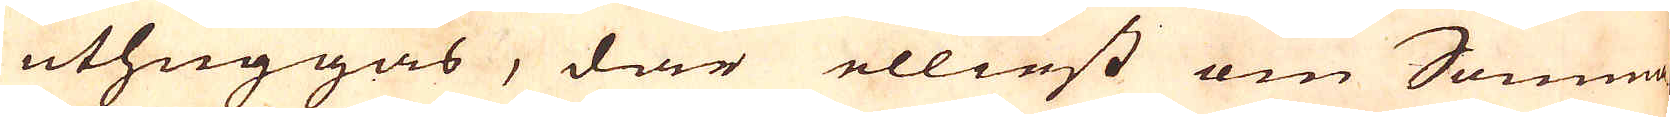uthuggas, där elliest om Somma-
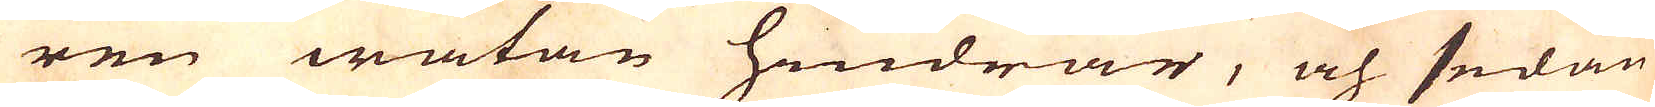ren wätan hindrar, och sedan
